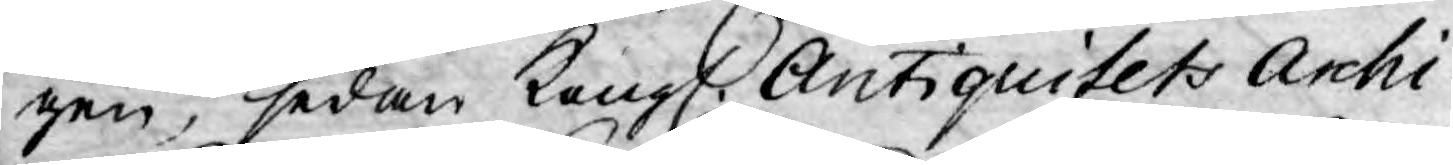gen, sedan Kongl. Antiquitets Archi¬
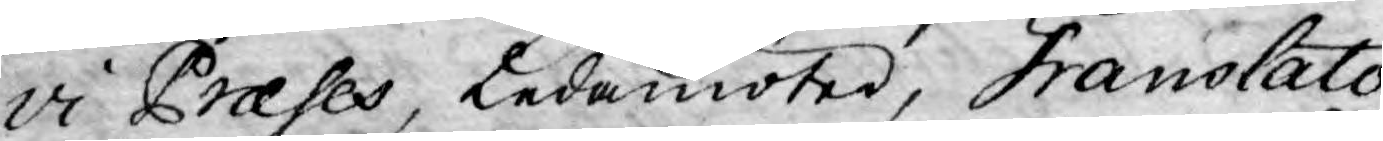vi Præses, Ledamöter, Translato¬
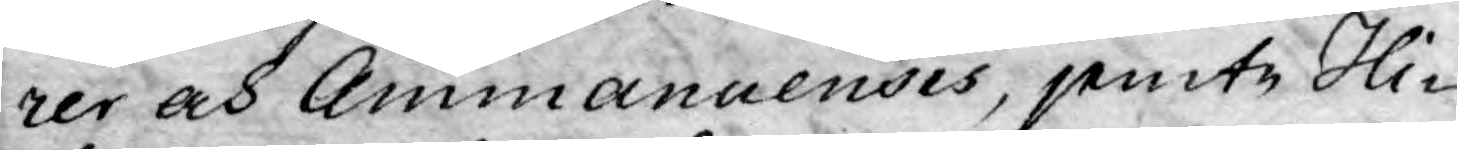rer och Ammanuensis, jemte Hi-
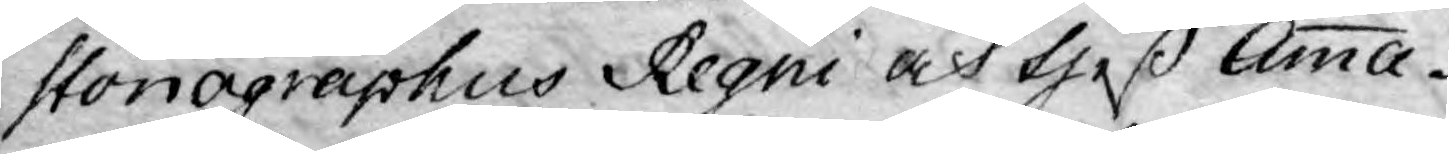storiagraphus Regni och theß Amma¬
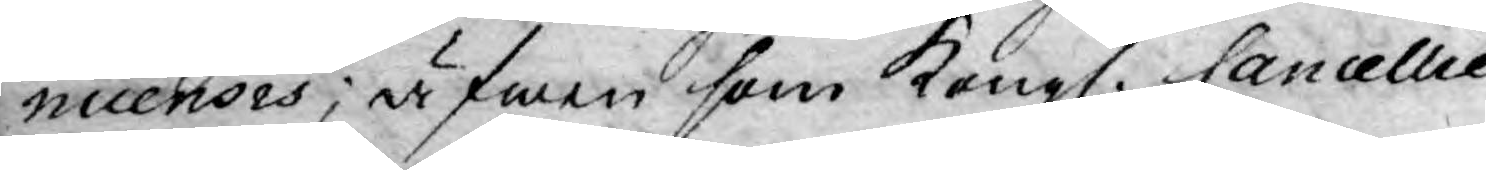nuensis; äfwen som Kongl. Cancellie
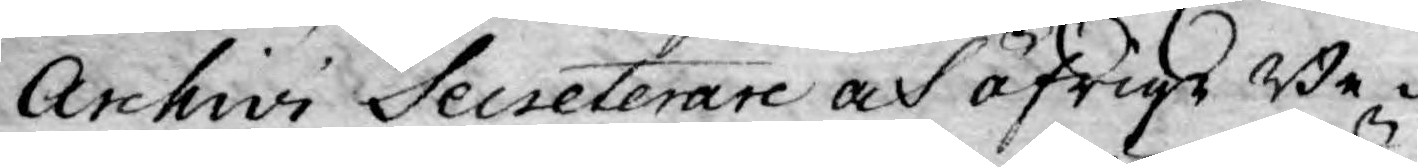Archivi Secreterare och öfrige Be¬
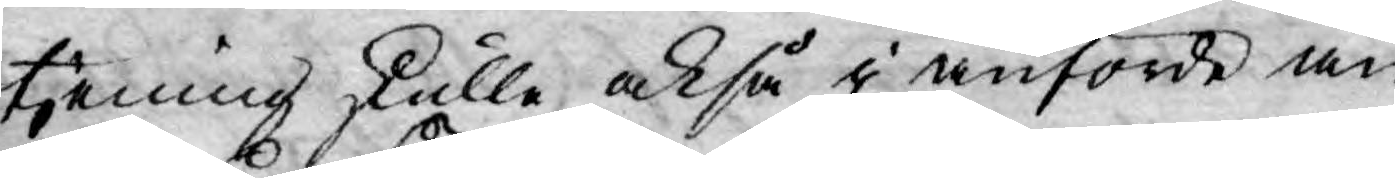tjening skulle, också i anförde än¬
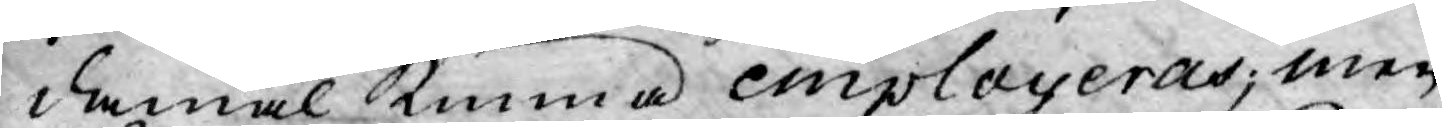damål kunna employeras; men
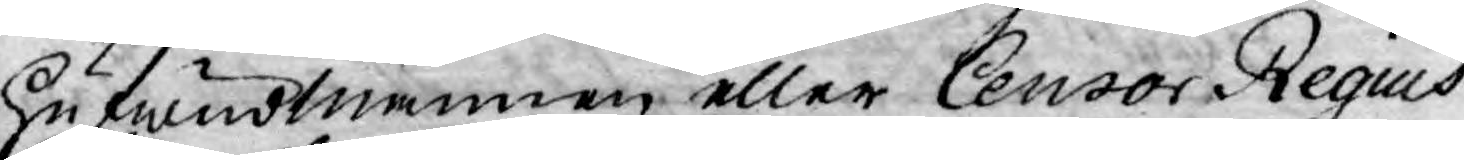hufwudmannen eller Censor Regius
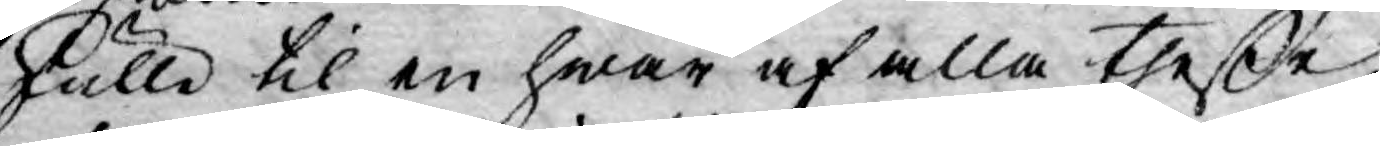skulle til en hwar af alla theße
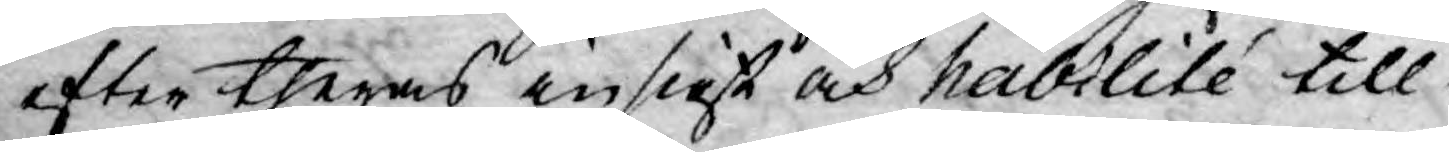efter theras insigt och habilité till¬
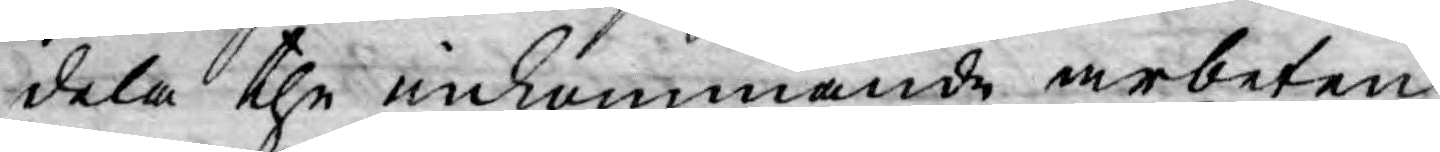dela the inkommande arbeten,
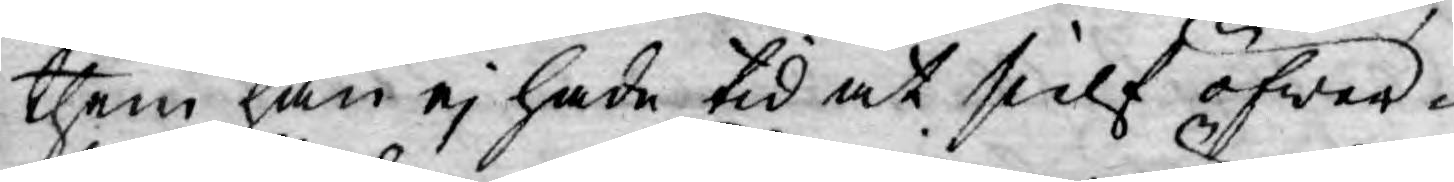them han ej hade tid at sielf öfwer¬
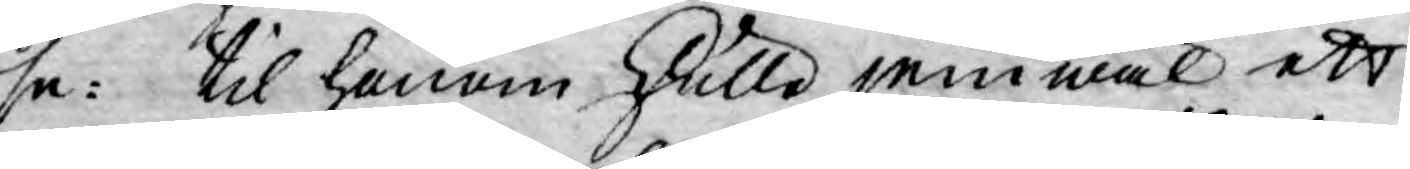se: til honom skulle jemwäl ett
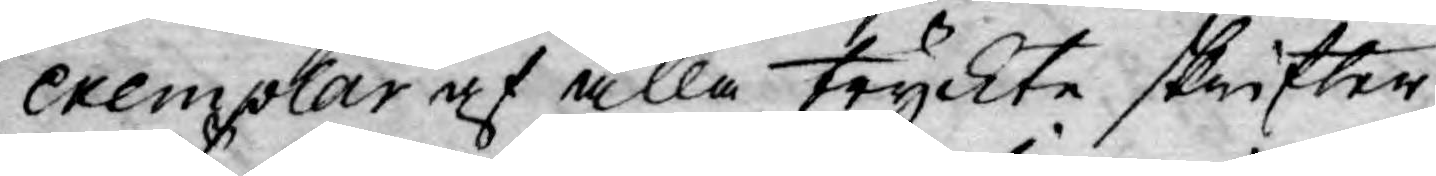Exemplar af alla tryckte skrifter
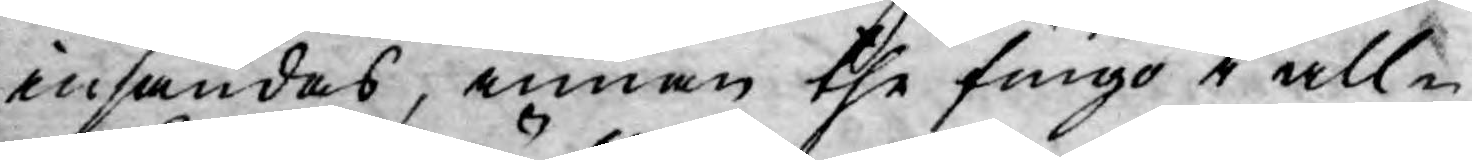insändas, innan the fingo i all¬
